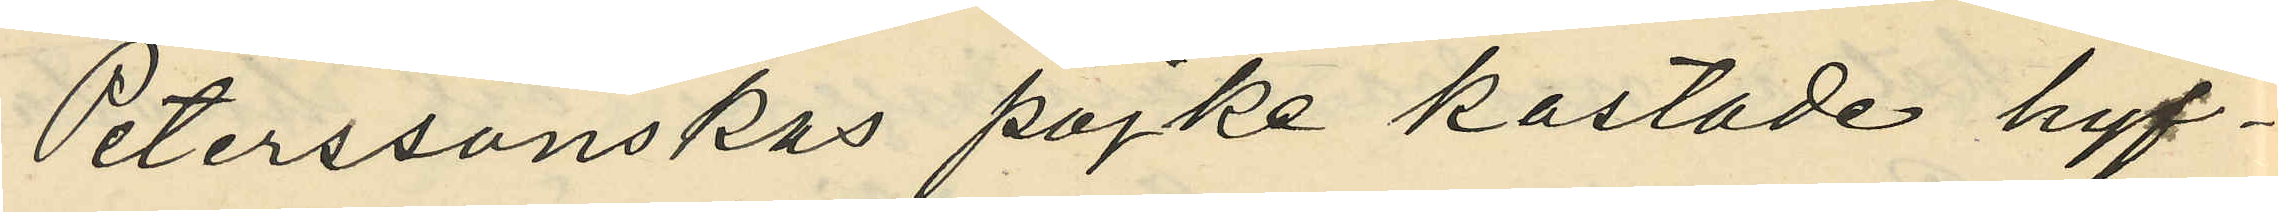Peterssonskas pojke kastade hyf¬
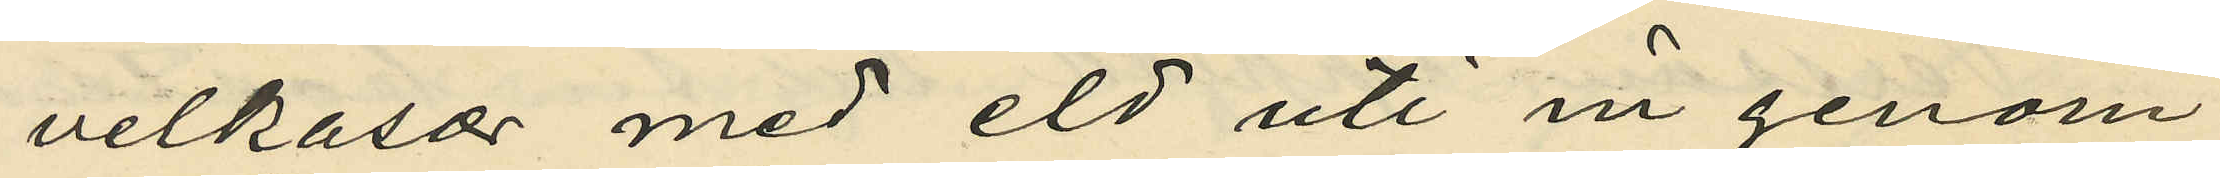veltrasor med eld uti in genom
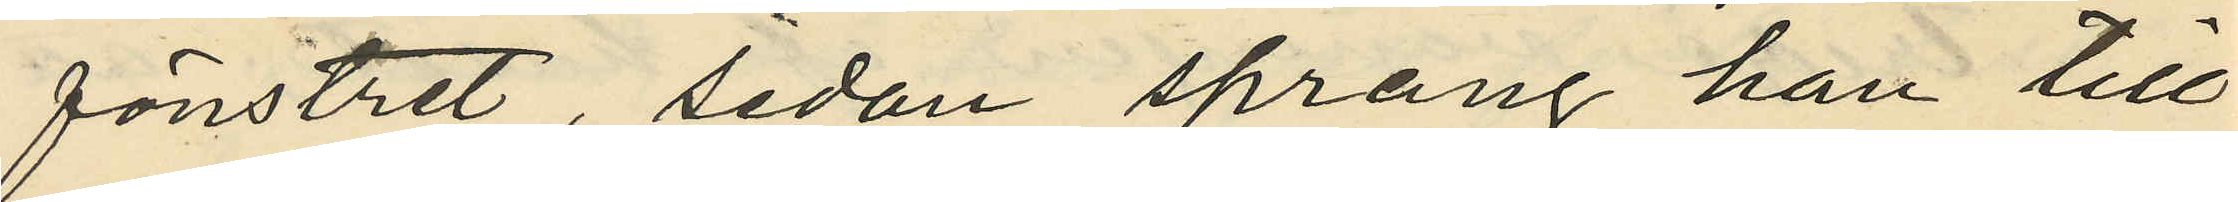fönstret, sedan sprang han till
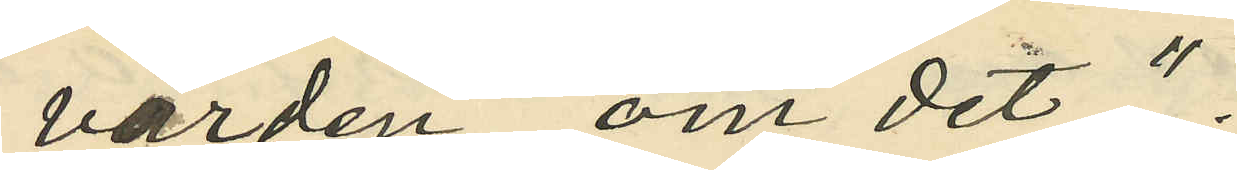värden om det";
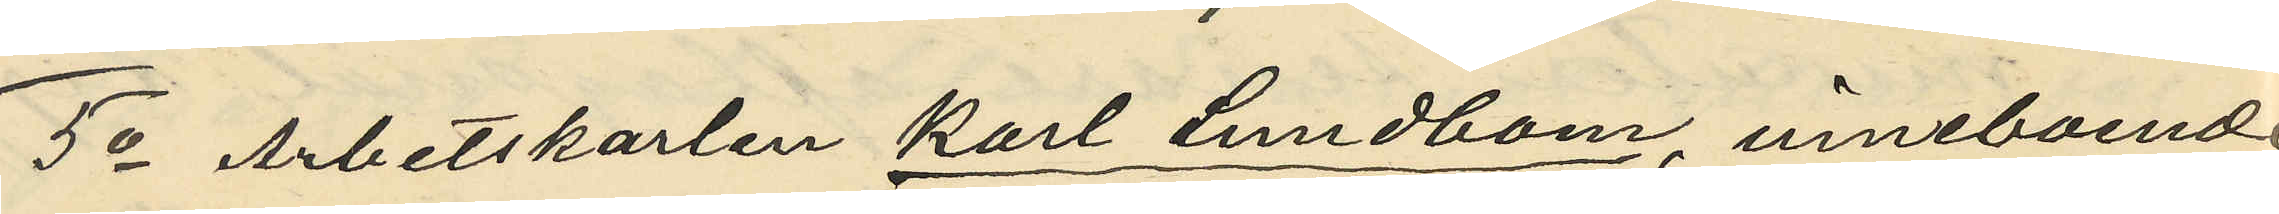5o Arbetskarlen Karl Lundbom, inneboende
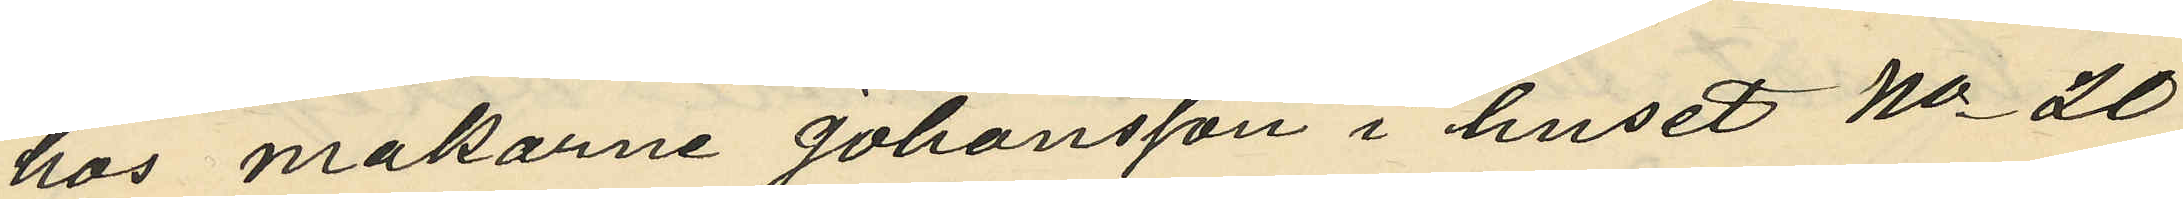hos makarne Johansson i huset No 20
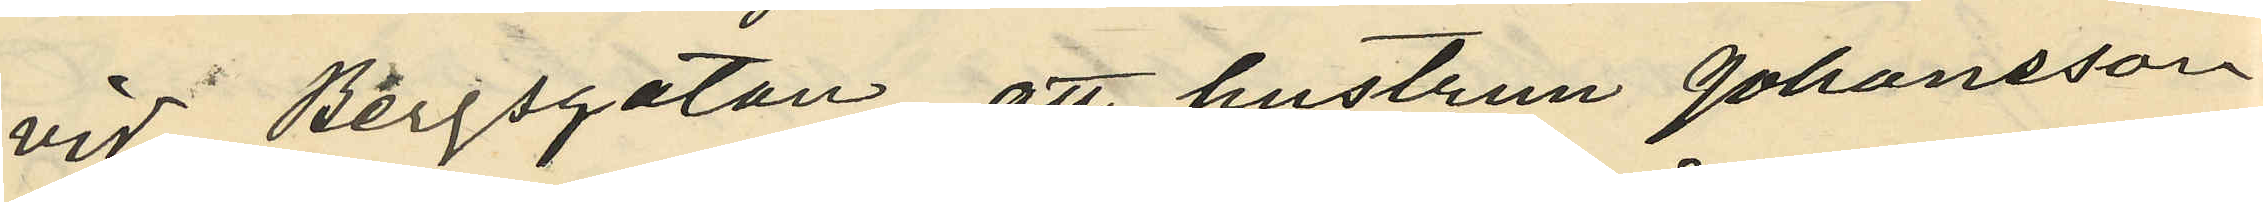vid Bergsgatan, att hustrun Johansson
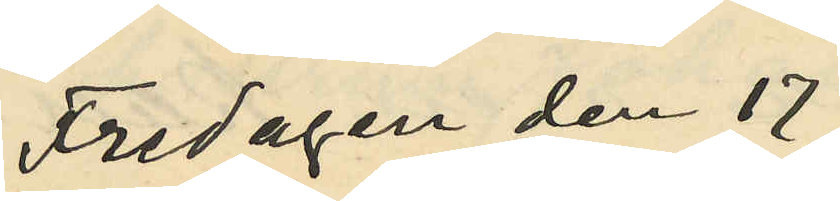Fredagen den 17
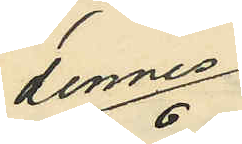dennes
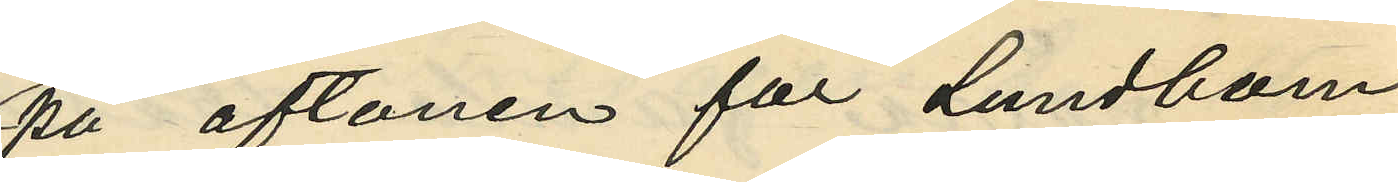på aftonen för Lundbom
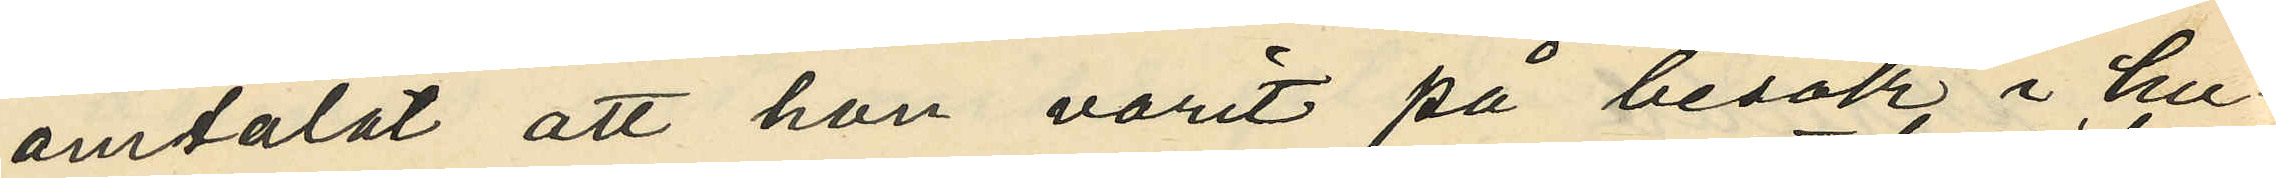omtalat att hon varit på besök i hu¬
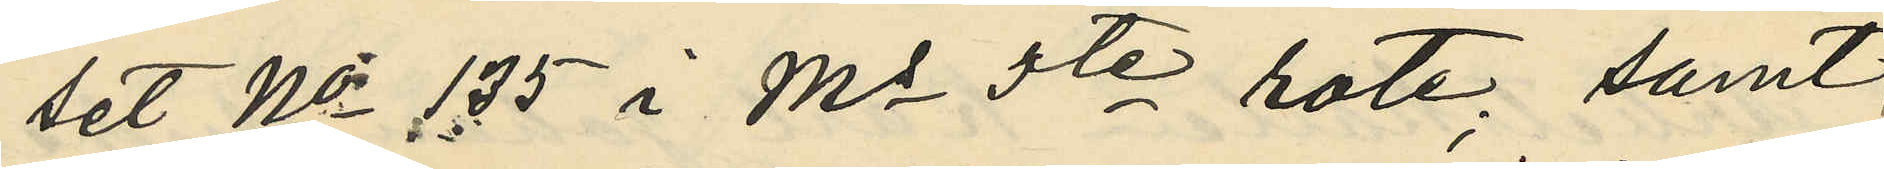set No 135 i Ms 5te rote; samt
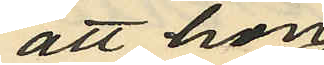att hon
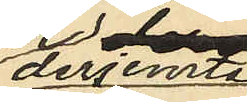derjemte
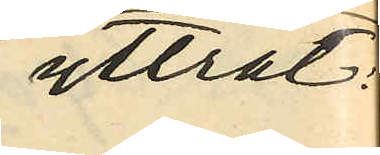yttrat:
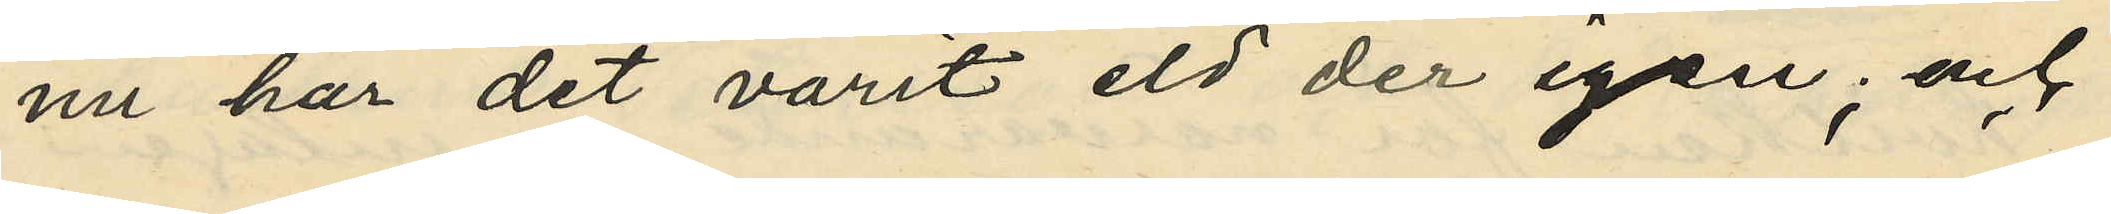nu har det varit eld der igen; och
